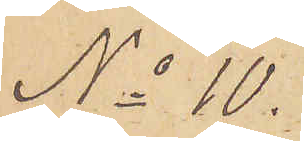No 10.
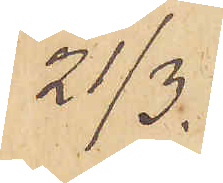21/3.
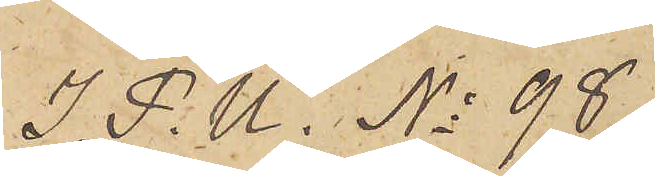I. P. U. No 98.
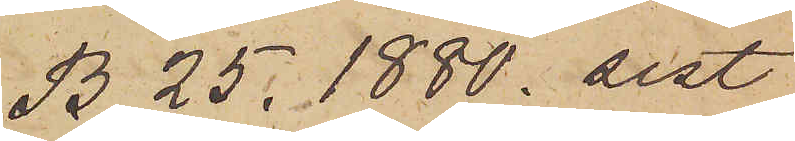B. 25. 1880. sist
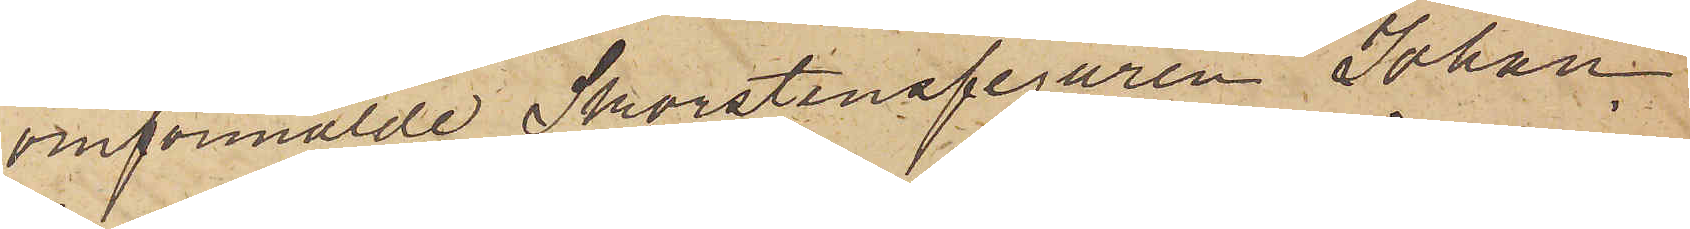omförmälde Skorstensfejaren Johan
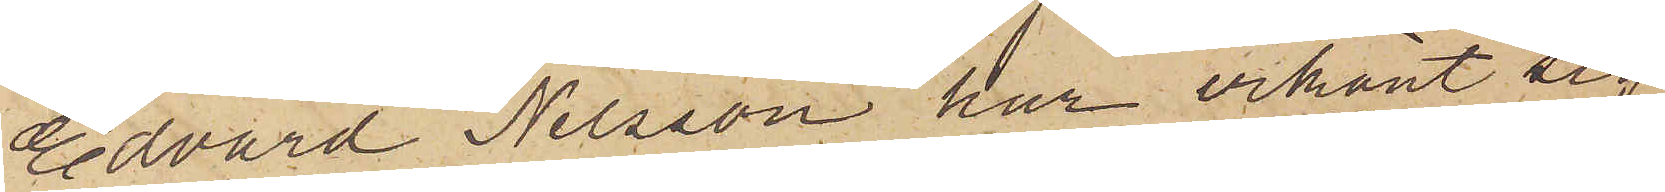Edvard Nilsson har erkänt sig
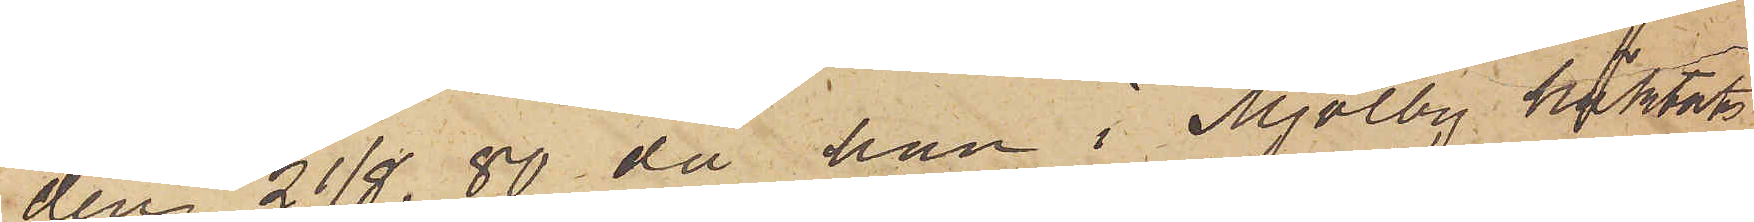den 21/8. 80 då han i Mjölby häktats
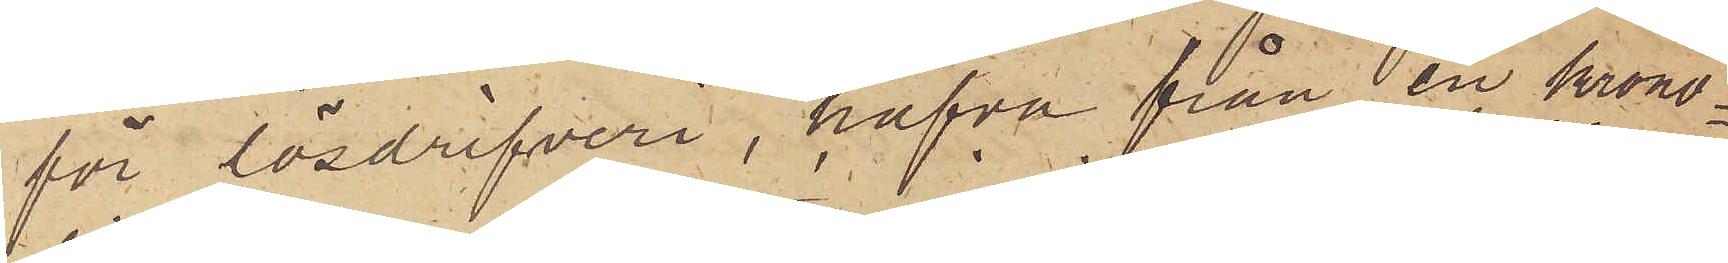för lösdrifveri, hafva från en krono¬
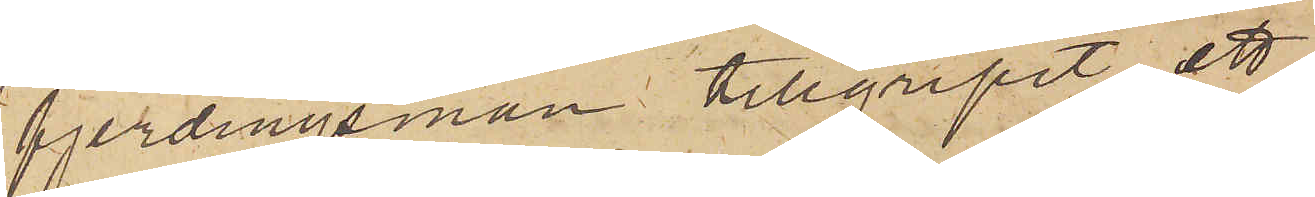fjerdingsman tillgripit ett
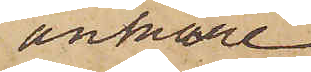ankare¬
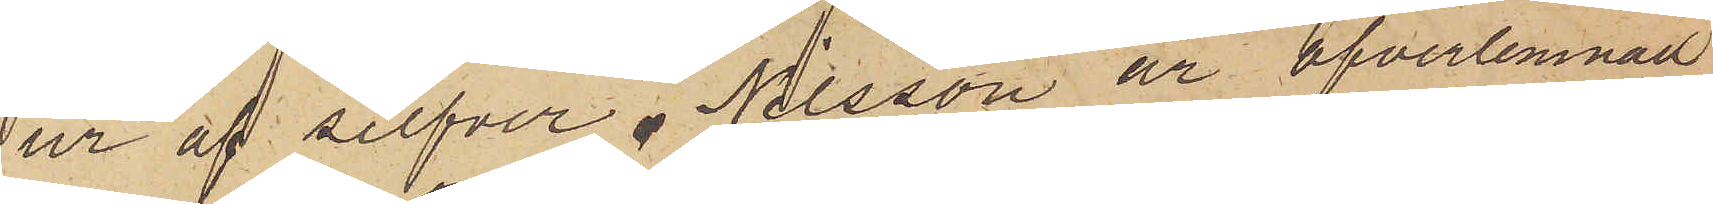ur af silfver. Nilsson är öfverlemnad
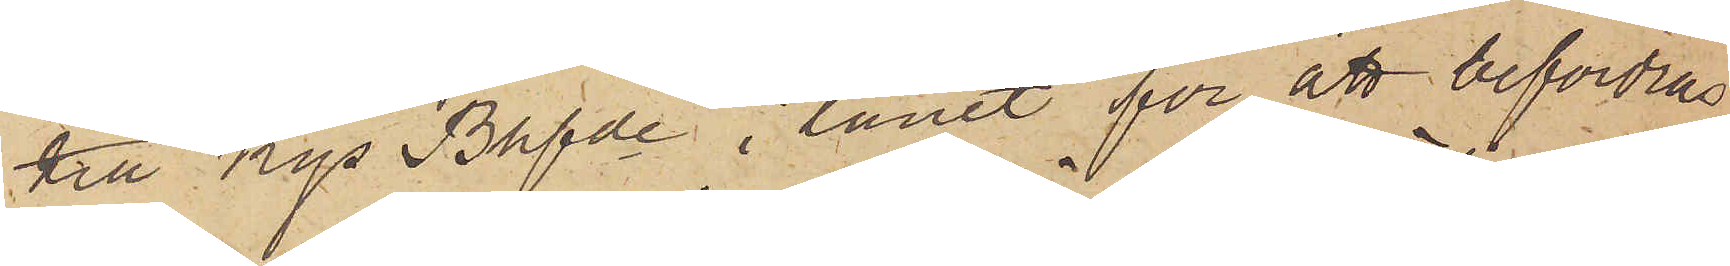till Kgs Bhfde i länet för att befordras
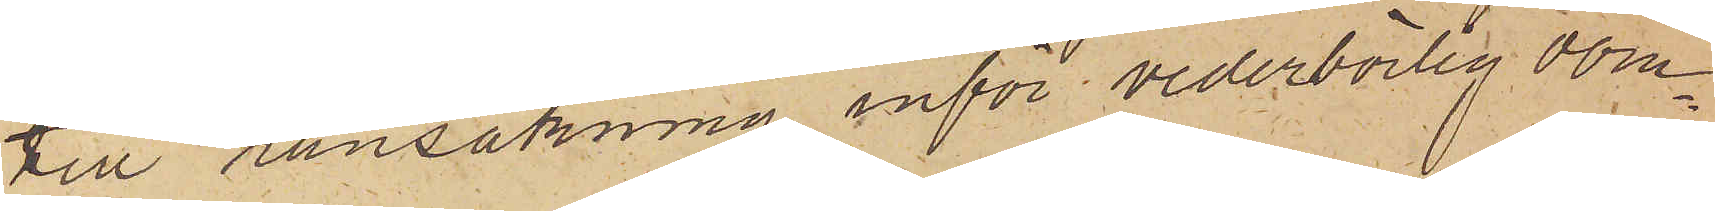till ransakning inför vederbörlig dom¬
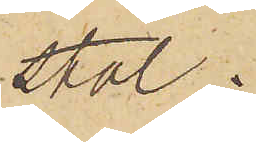stol.
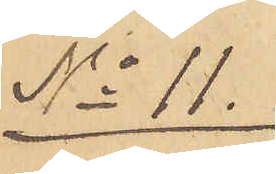No 11.
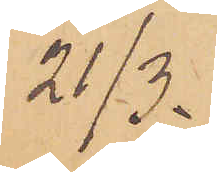21/3.
